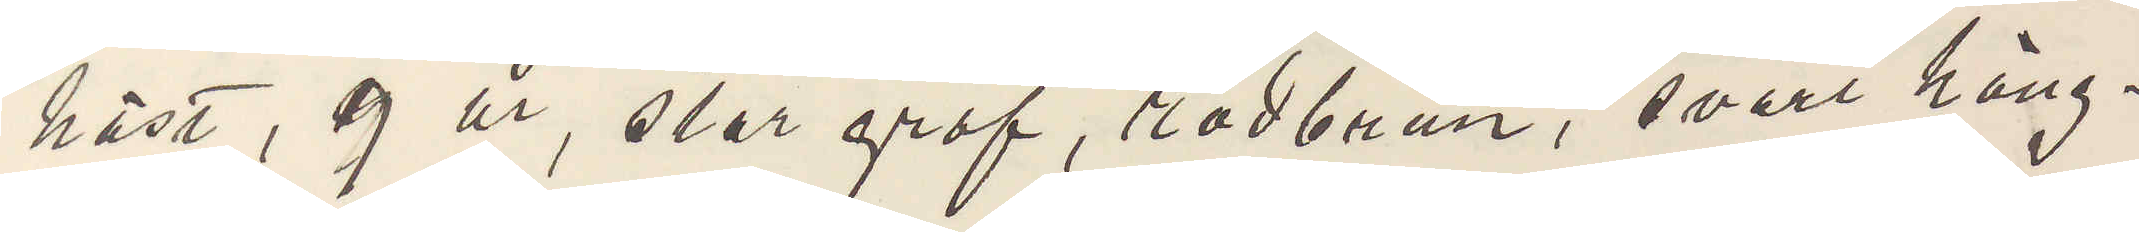häst, 9 år, stor grof, rödbrun, svart häng¬
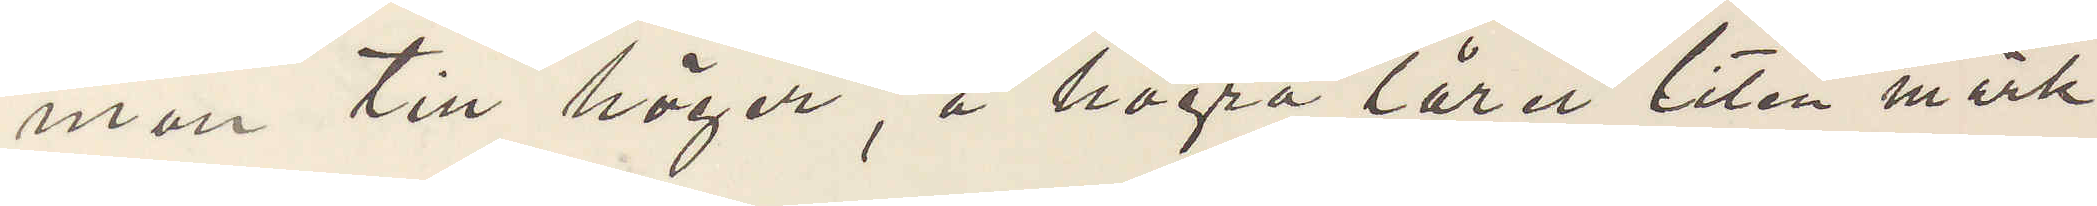man till höger, å högra låret liten mörk
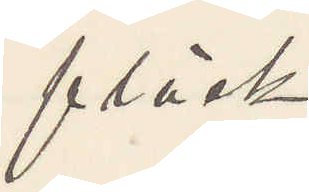fläck.
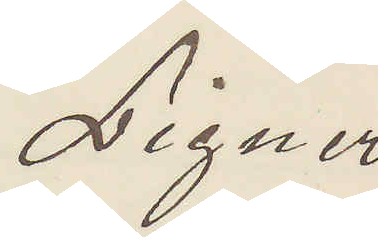Ligner
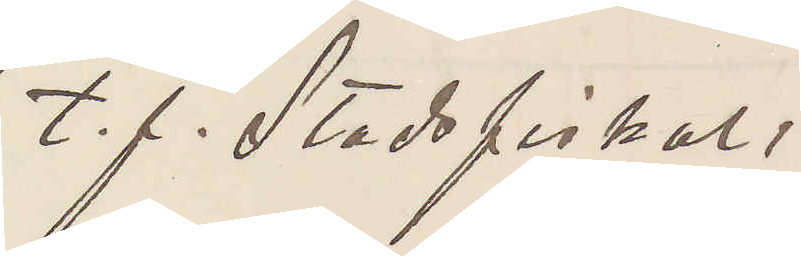t. f. Stadsfiskal.
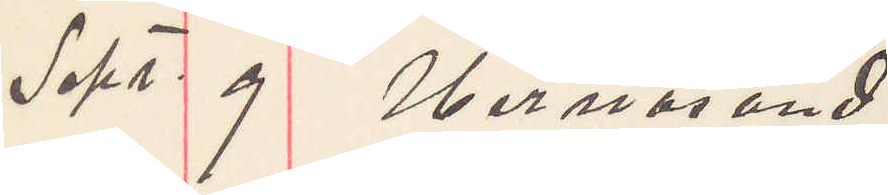Sept. 9 Hernösand.
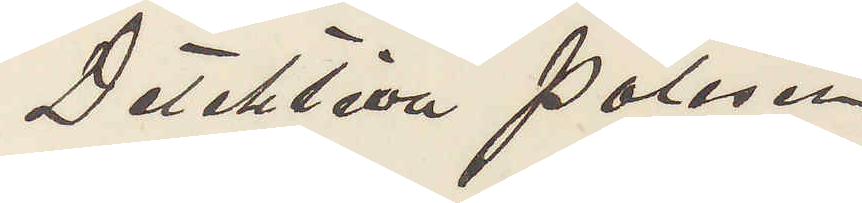Detektiva Polisen
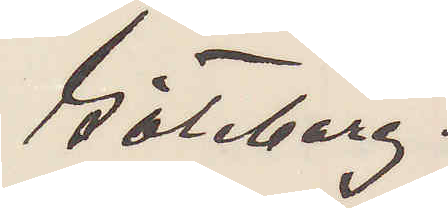Göteborg.
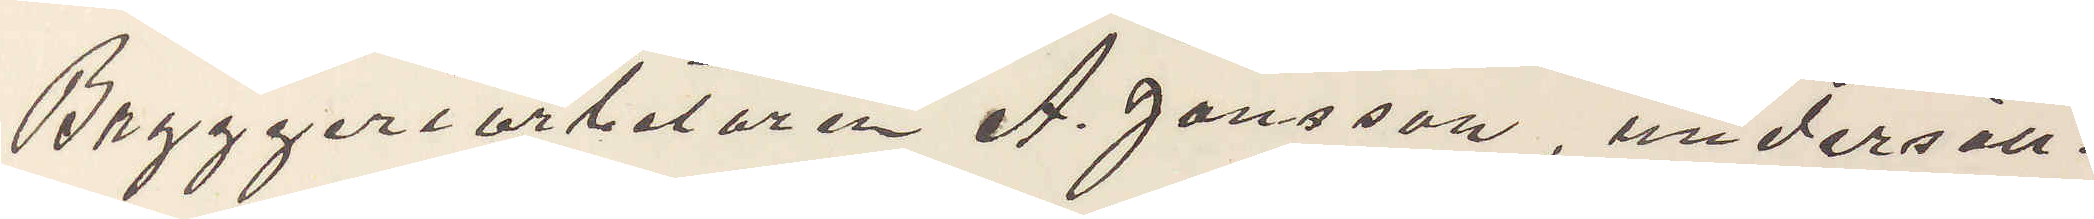Bryggeriarbetaren A. Jonsson, undersätt¬
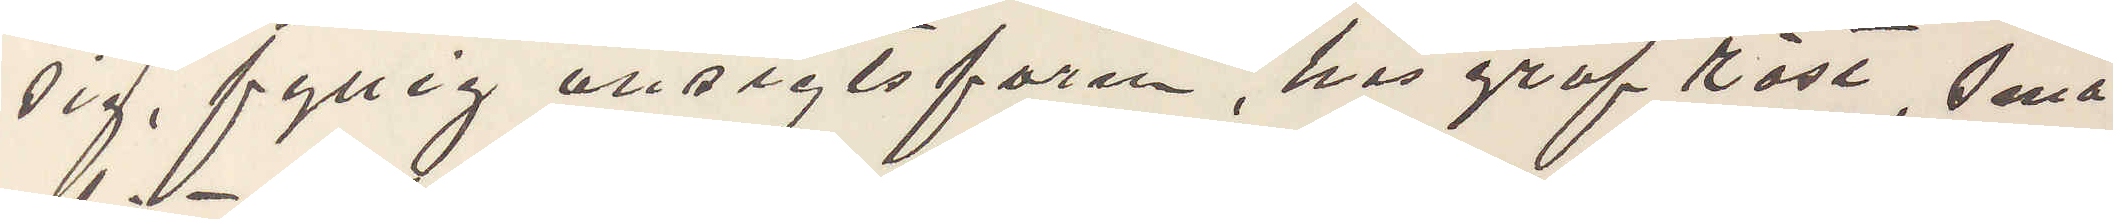sig, fyllig ansigtsform, har grof röst, små
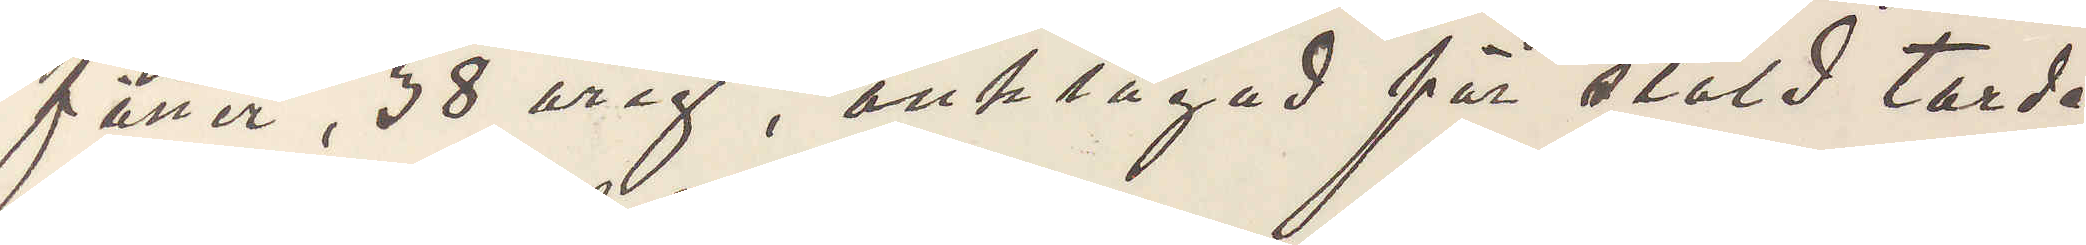fötter, 38 årig, anklagad för stöld torde
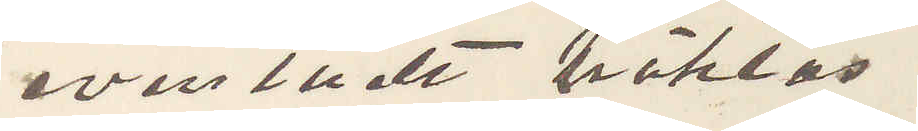eventuellt häktas.
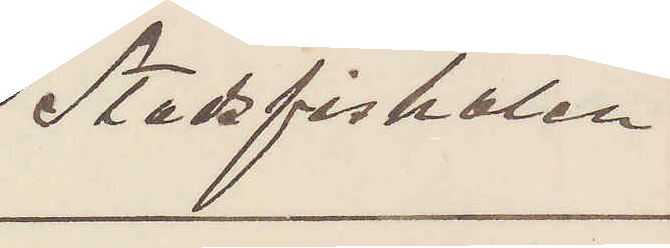Stadsfiskalen
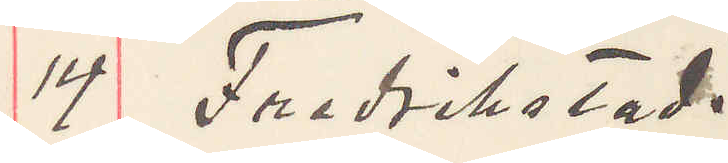14 Fredrikstad.
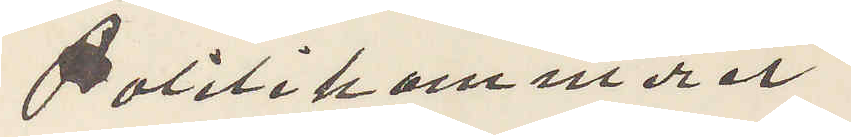Politikammeret
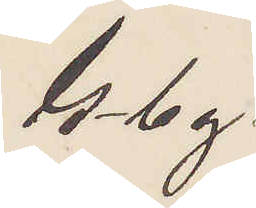Gbg.
